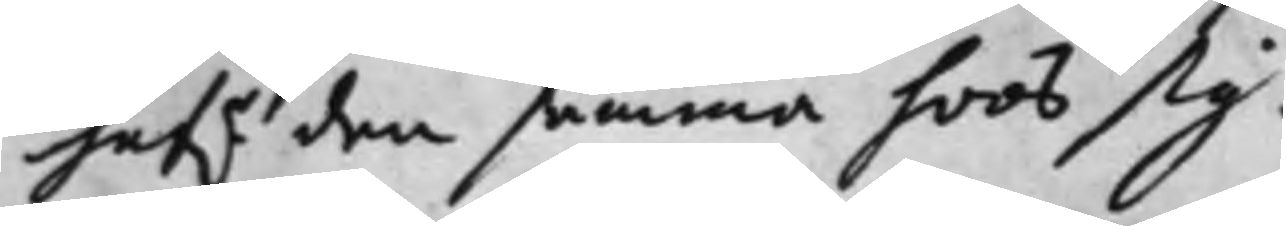haf.r den samma hoos sig. 
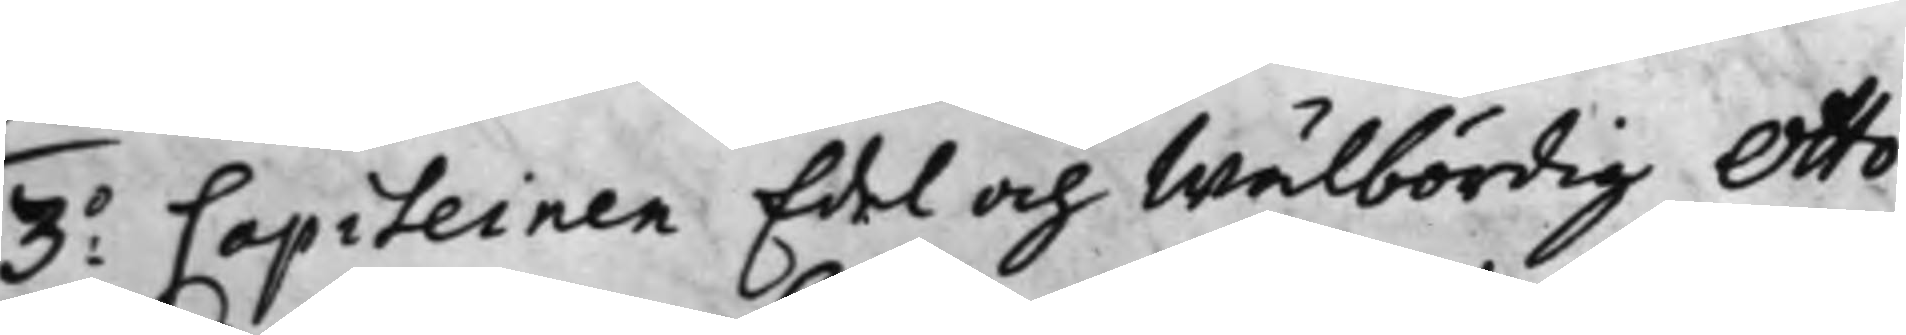3:o Capiteinen Edel och Wälbördig Otto
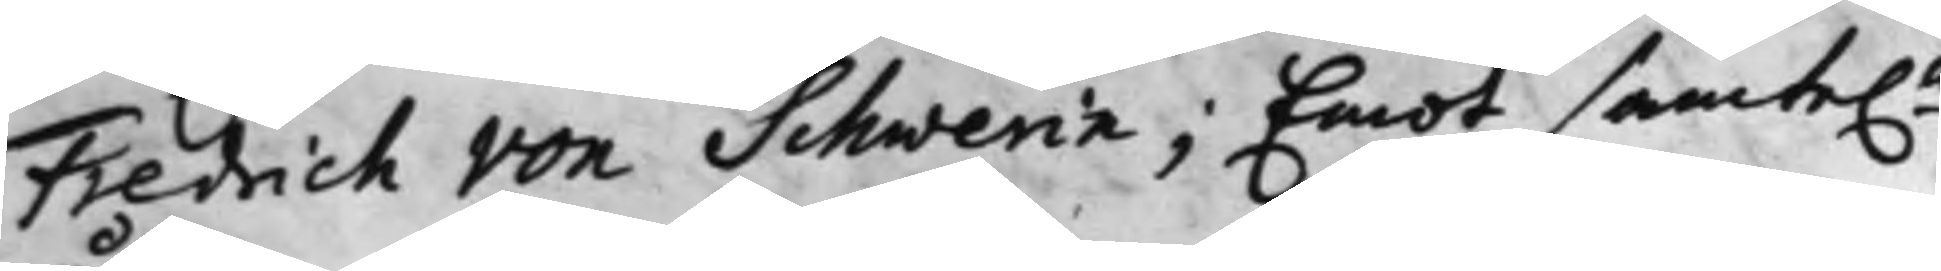Fredrich von Schwerin; Emot samte.e 
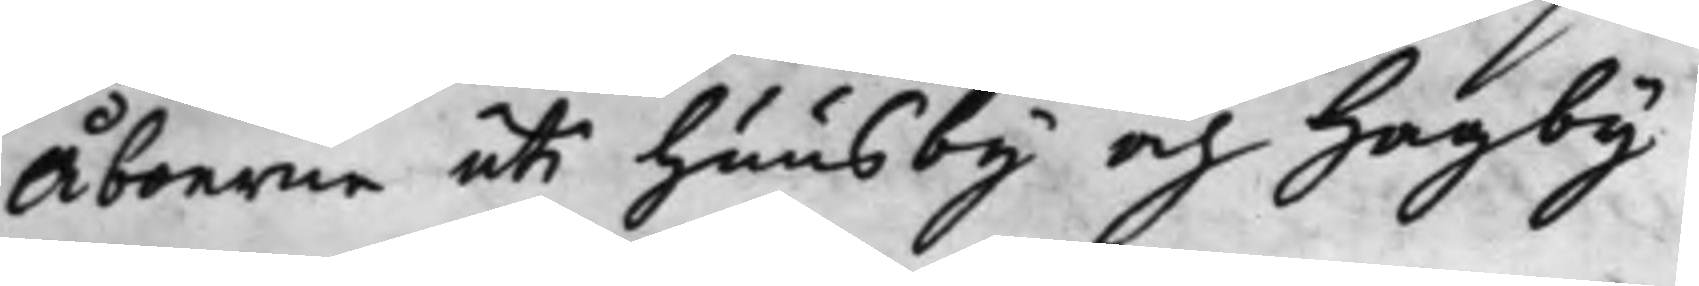Åboerne uti Huusby och Hagby.
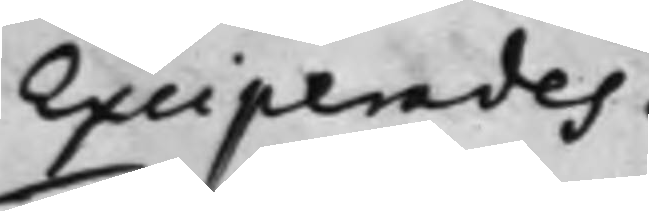Exciperades.
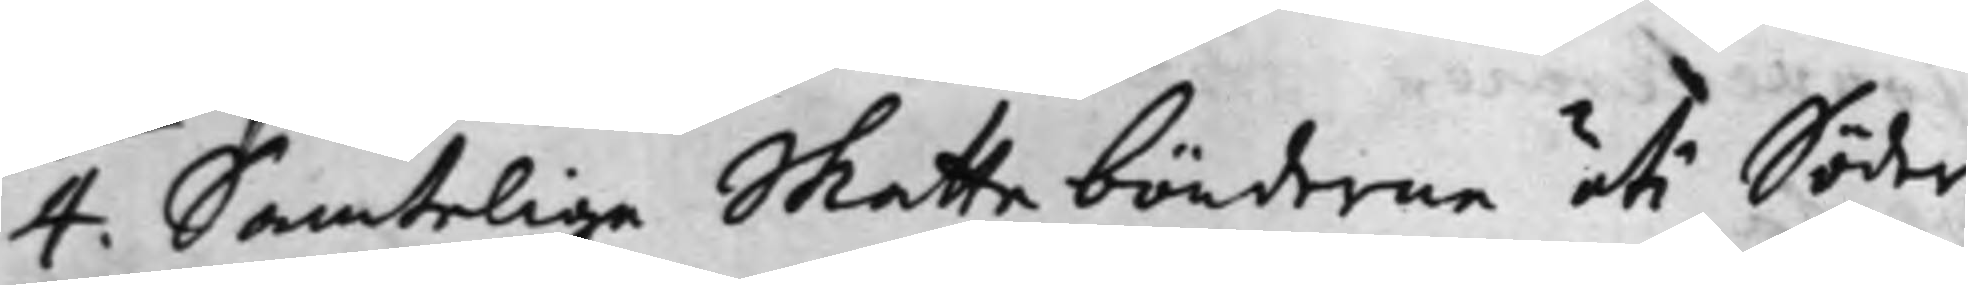4. Samtelige Skattebönderne uti Söder
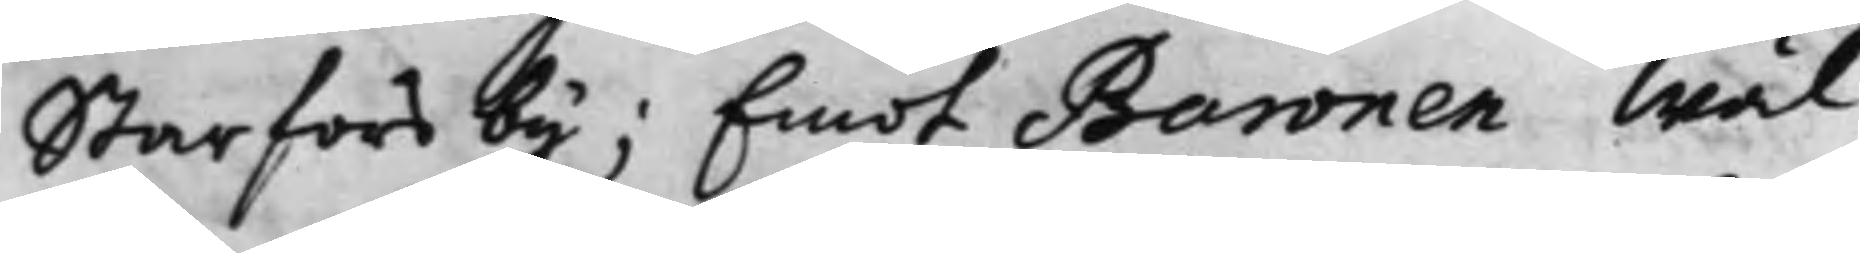Starfors by; Emot Baronen Wäl¬
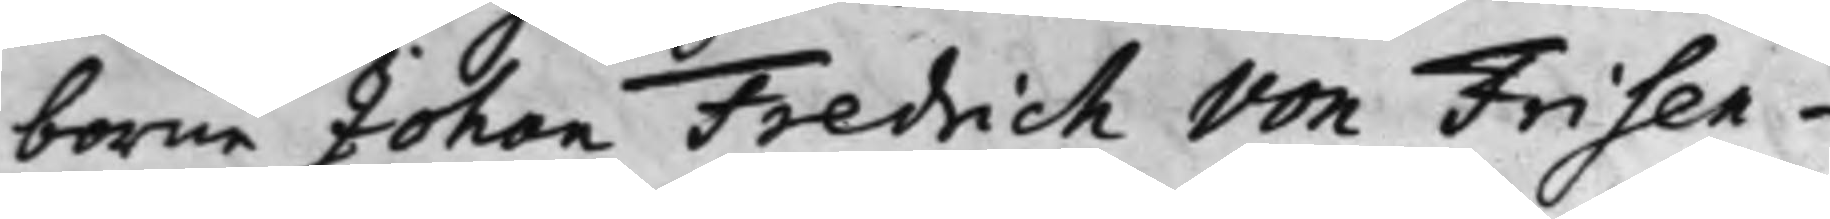borne Johan Fredrich von Frisen¬
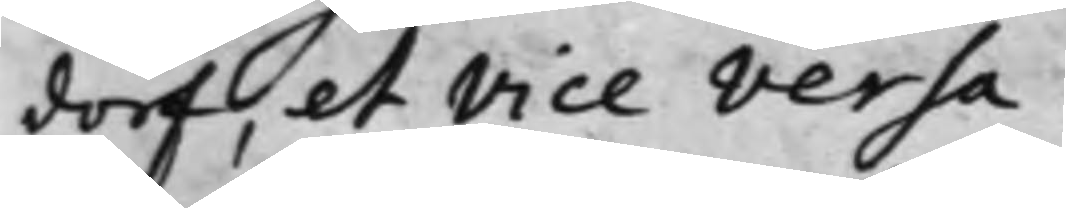dorf, et Vice Versa.
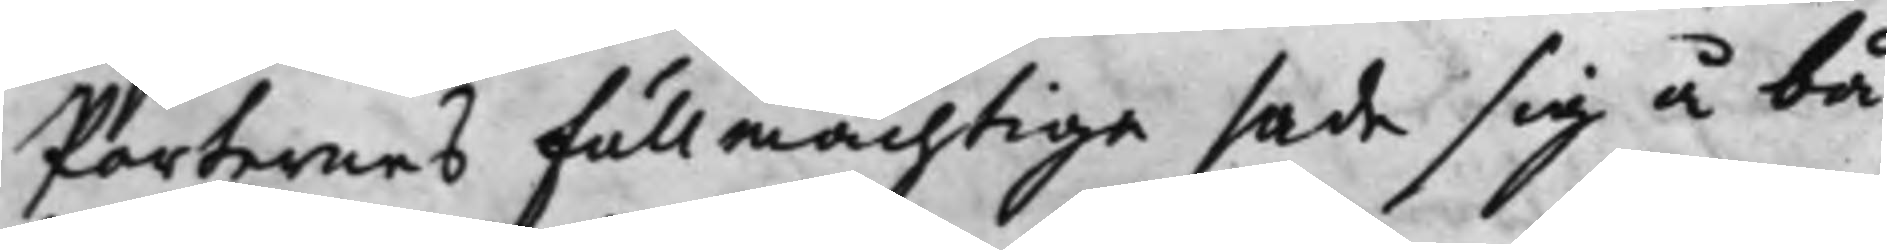Parternes Fullmächtige sade sig å bå¬
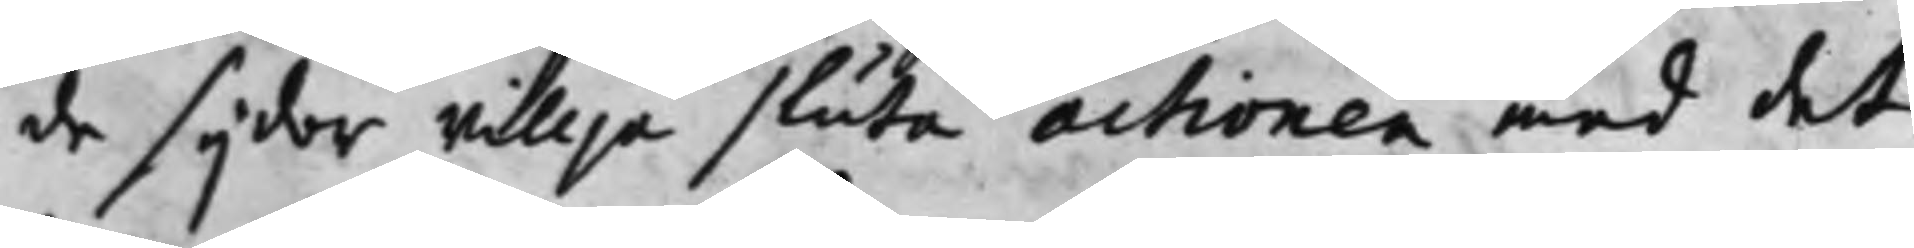de sijdor willja sluta actionen med det
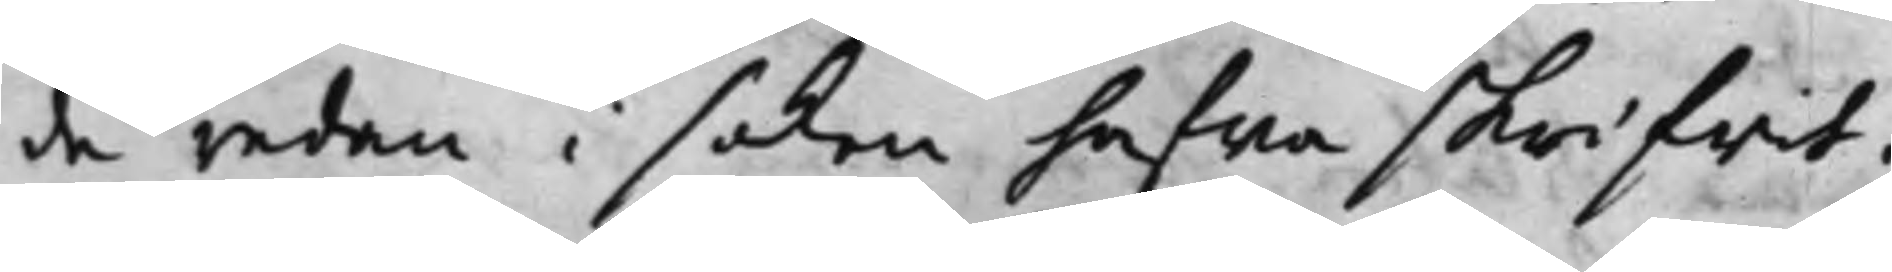de redan i saken hafwa skrifwit.
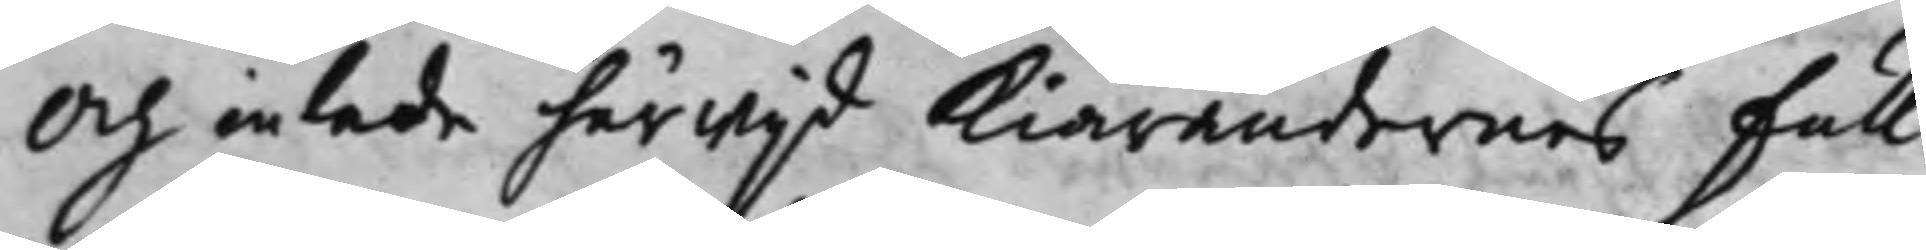Och inlade härwijd Kiärandernes Full¬
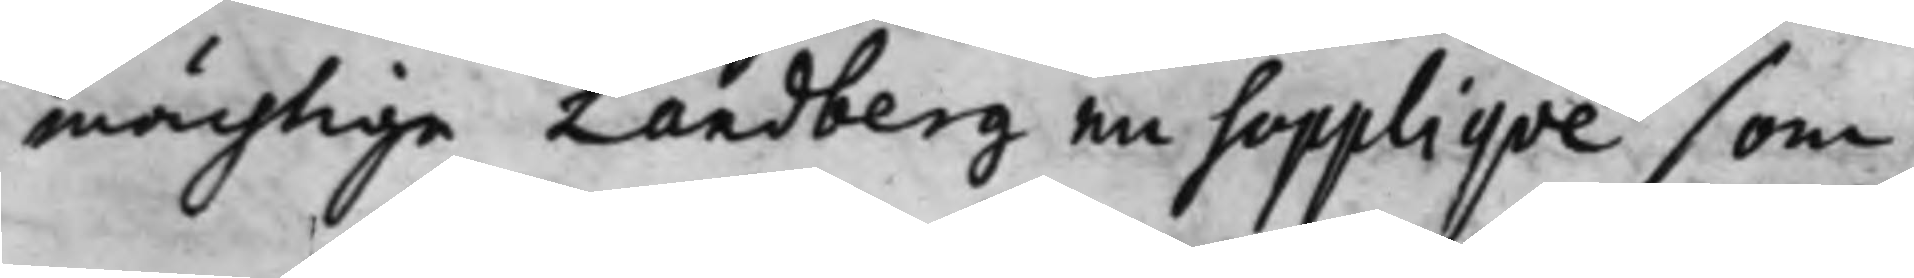mächtige Landberg en Suppliqve som
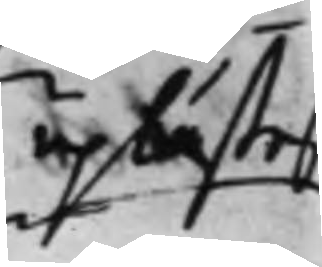uplästes
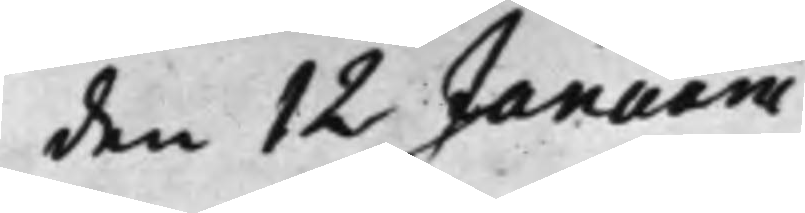den 12 Januarii
